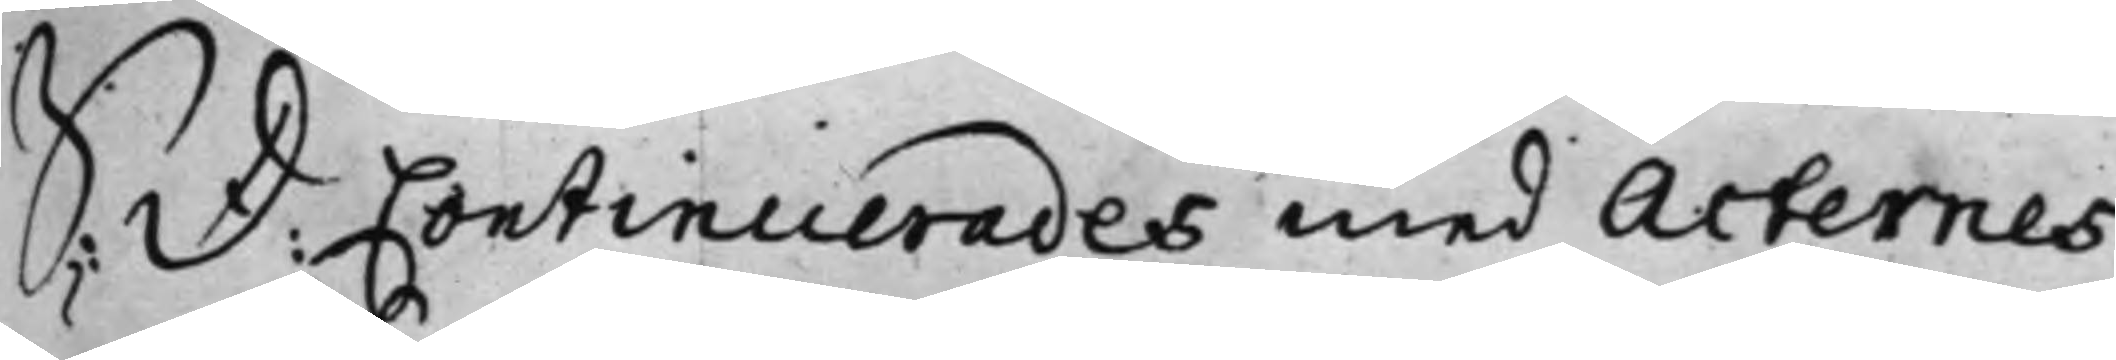S: D: Continuerades med Acternes
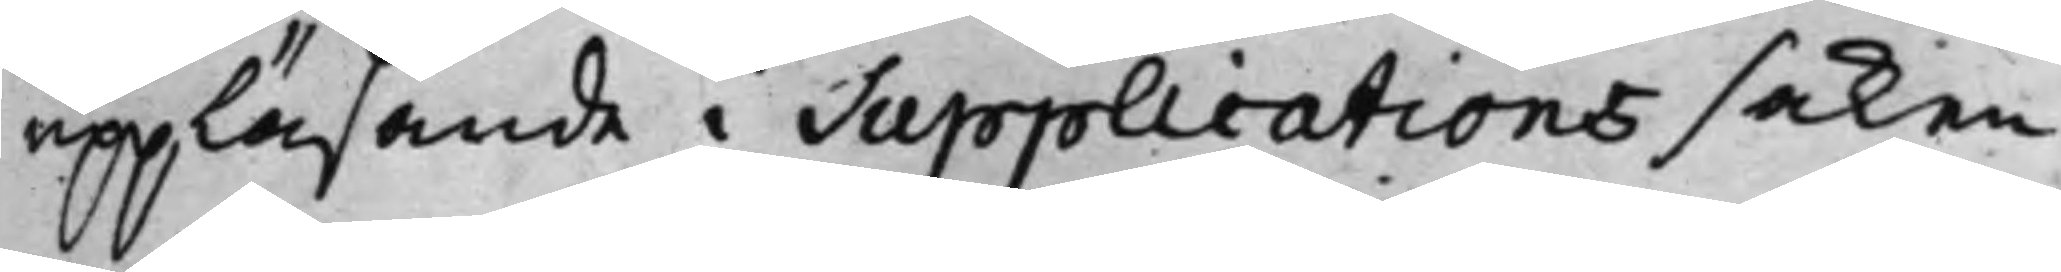uppläsande i Supplications saken
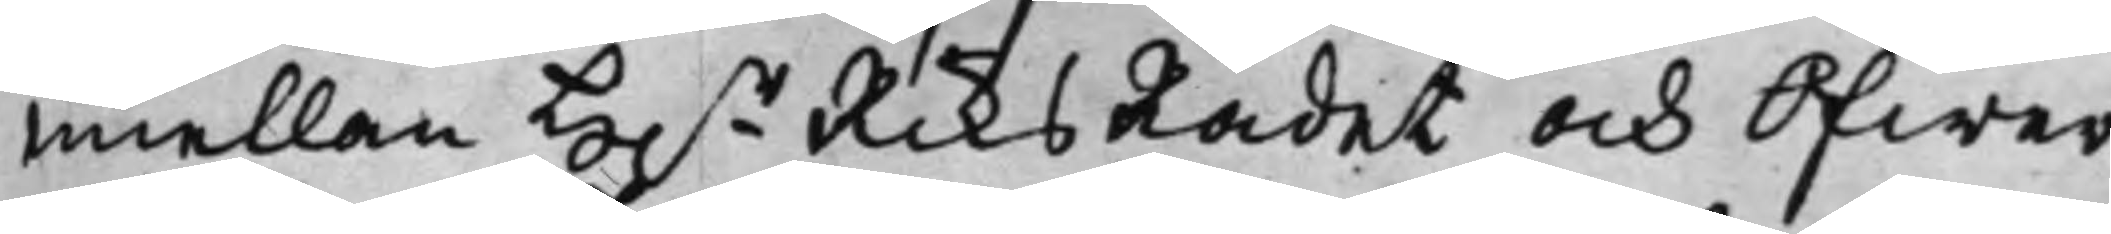emellan H.r RiksRådet och Öfwer¬
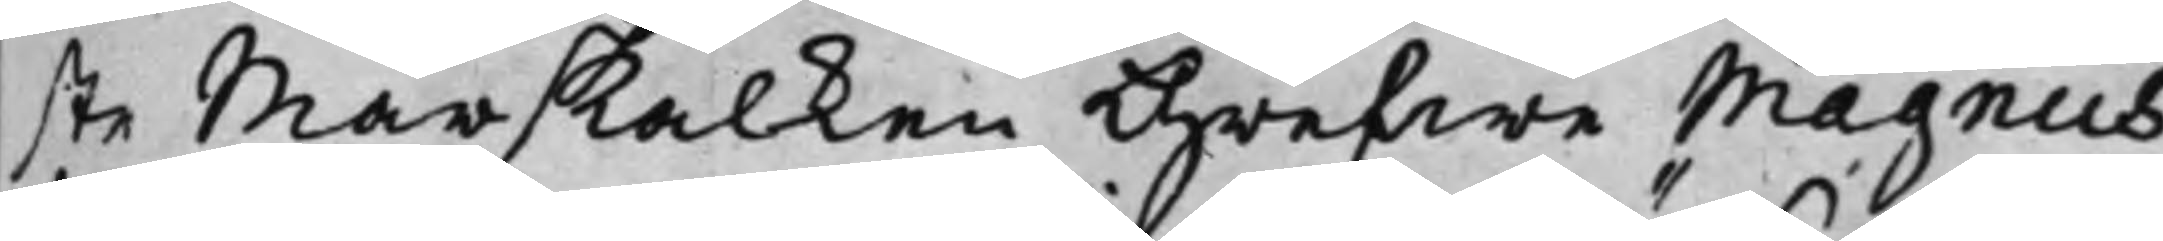ste Marskalken Grefwe Magnus
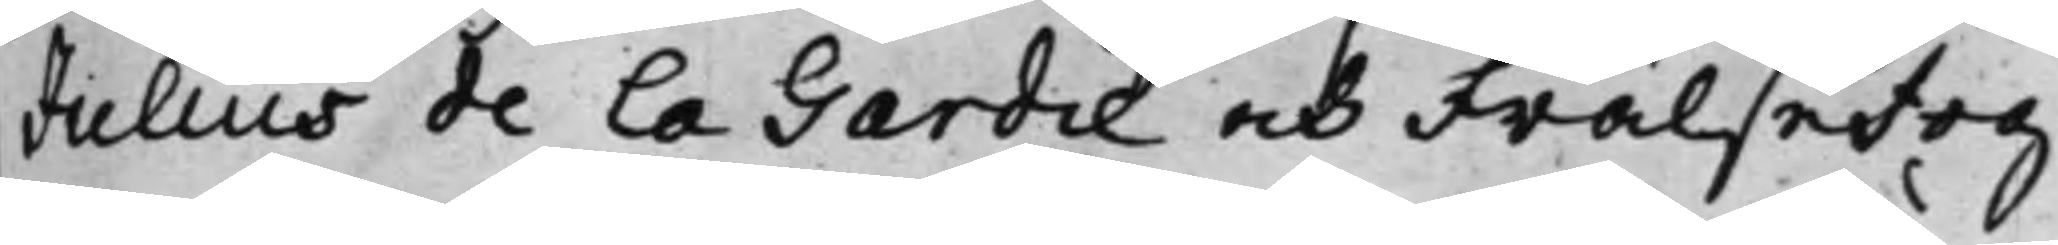Julius de la Gardie och FrälseFog¬
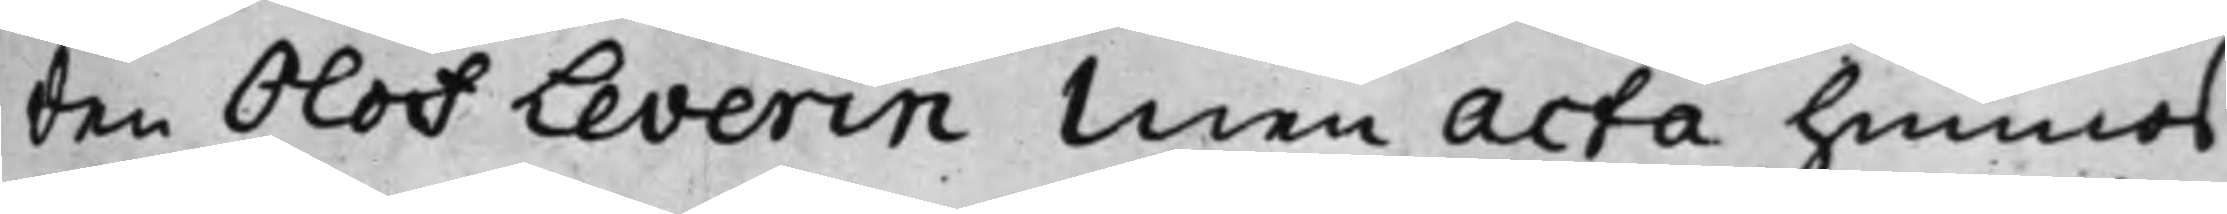den Olof Leverin Men Acta hennes
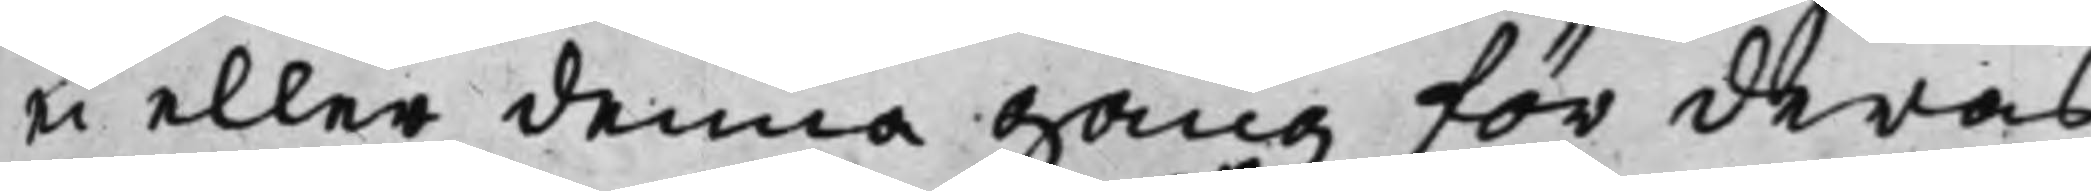ei eller denna gång för deras
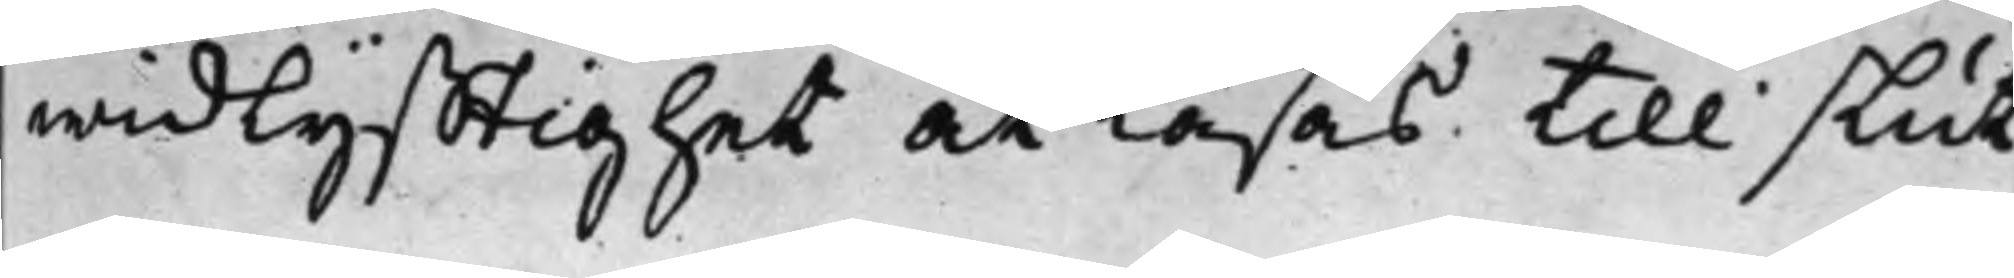widlyfftighet at läsas till slut.
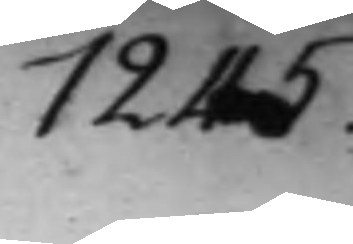1245.
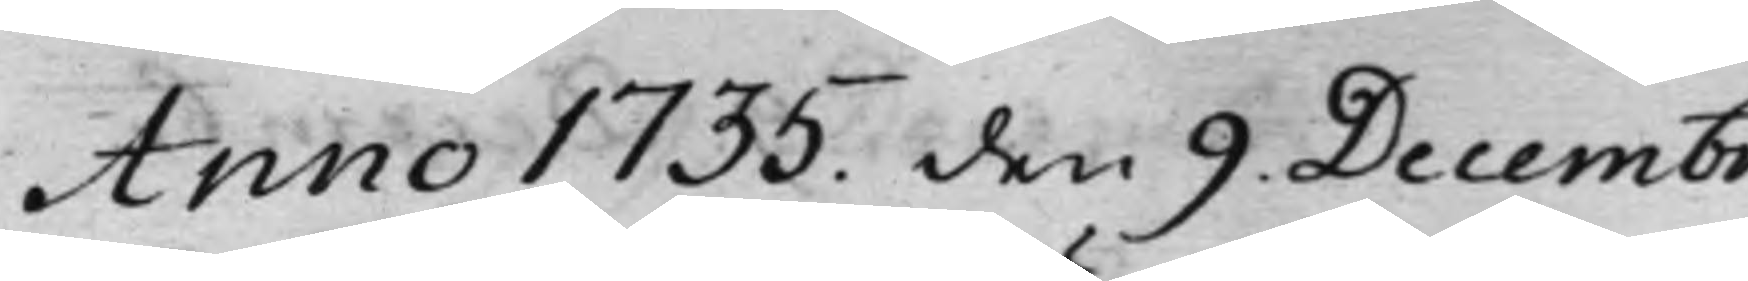Anno 1735 den 9. Decembr.
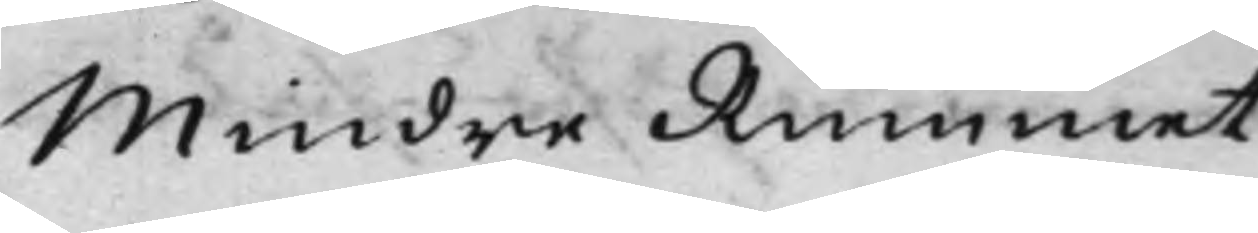Mindre Rummet.
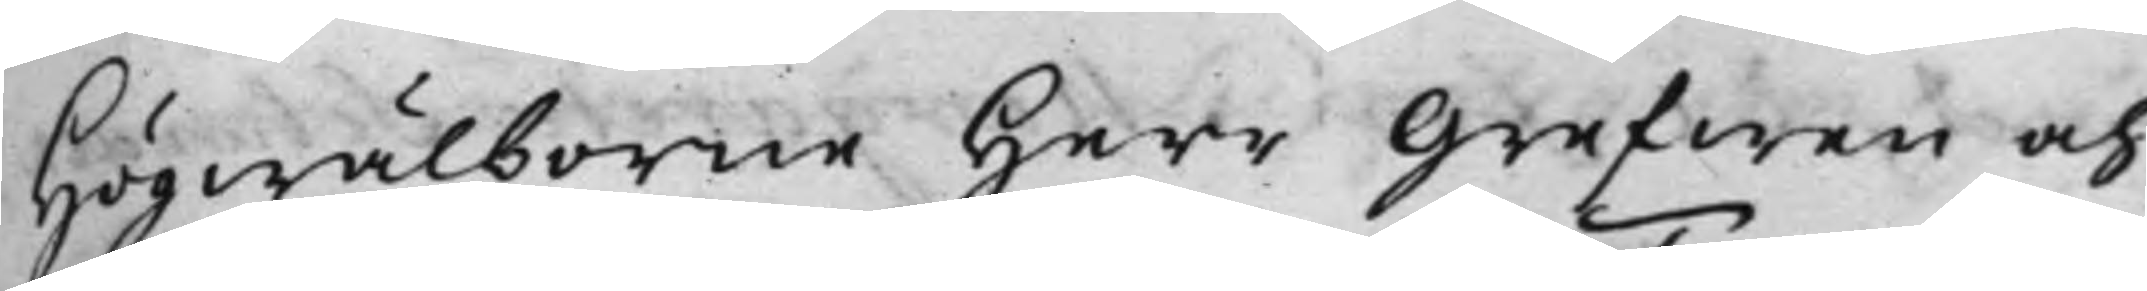Högwälborne Herr Grefwen och
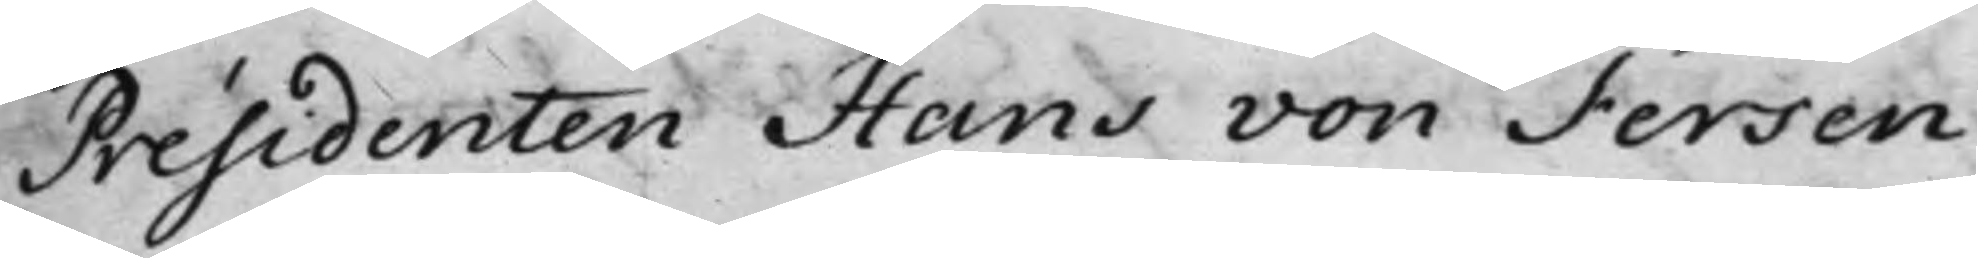Présidenten Hans von Fersen.
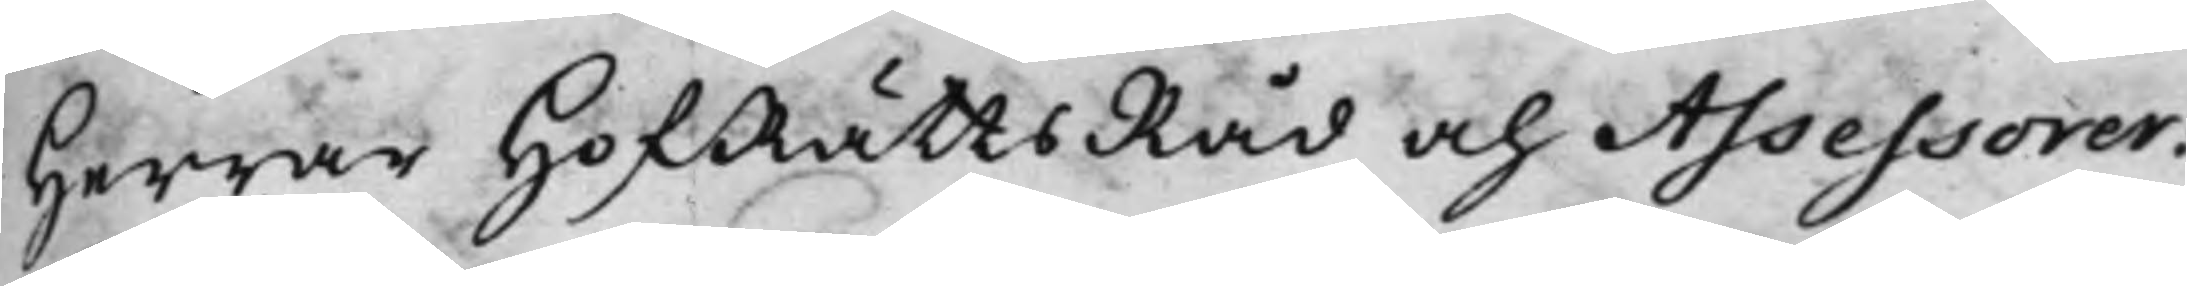Herrar HofRättsRåd och Assessorer:
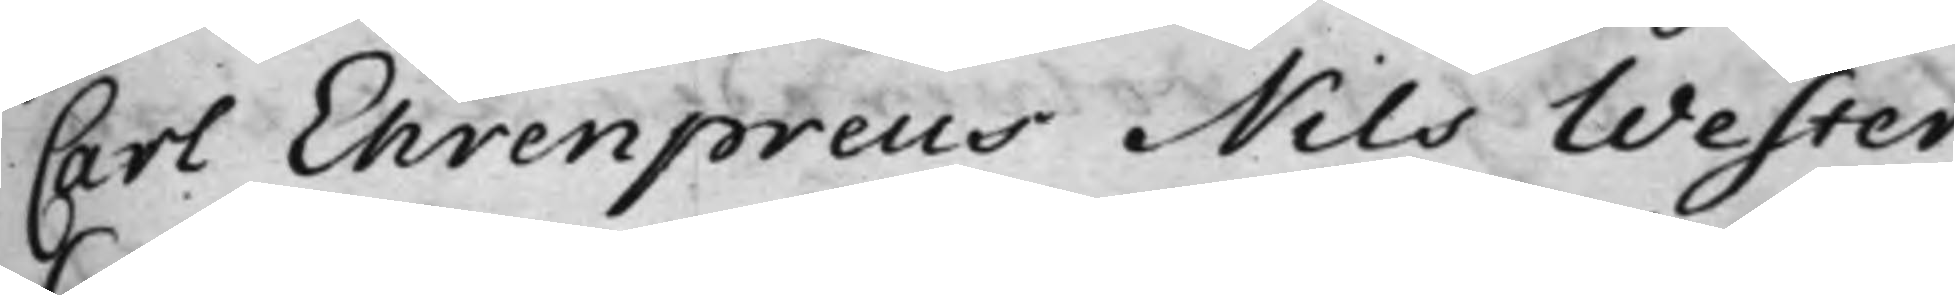Carl Ehrenpreus Nils Wester
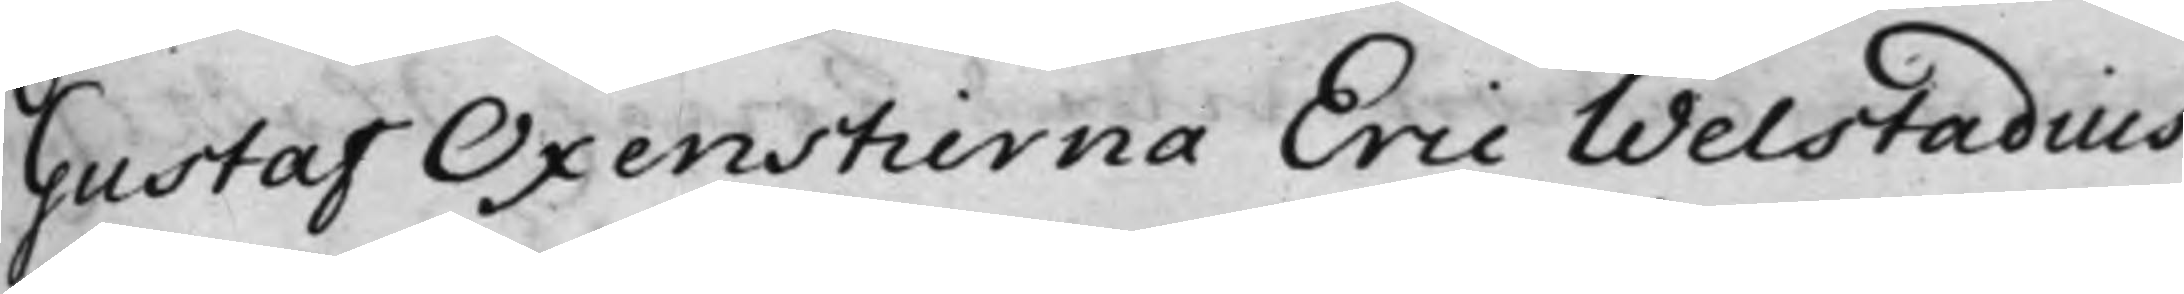Gustaf Oxenstierna Eric Welstadius.
